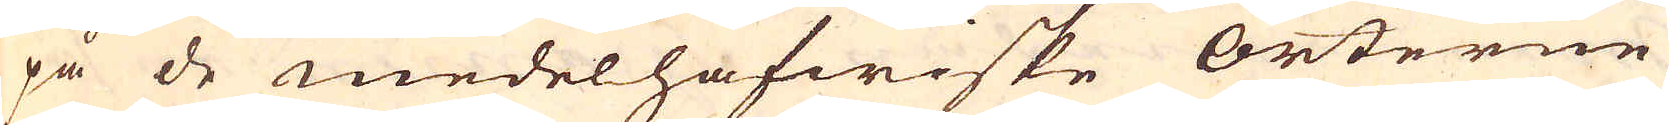på de medelhafwiske Orterne
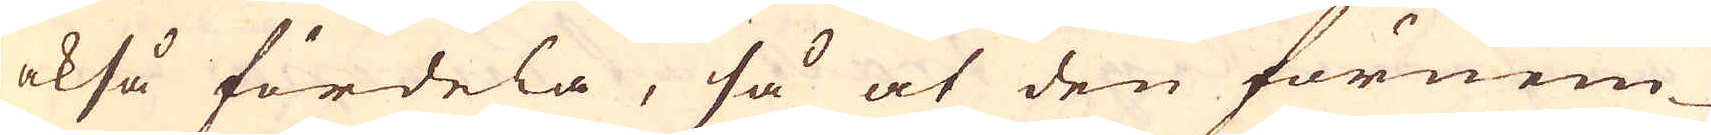okså fördela, så at den förnem-
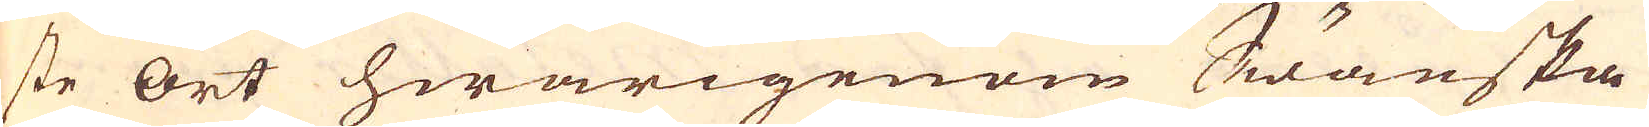ste ort hwarigenom Swänska
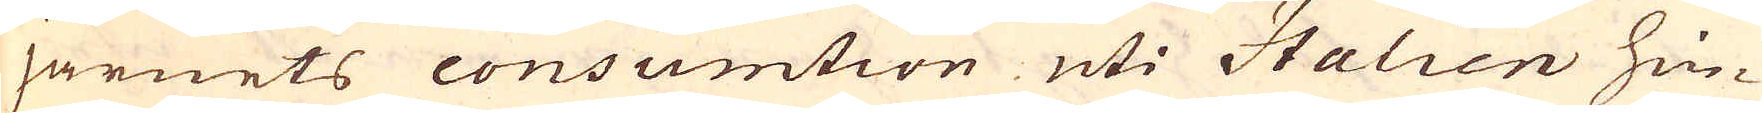järnets consumtion uti Italien hin-
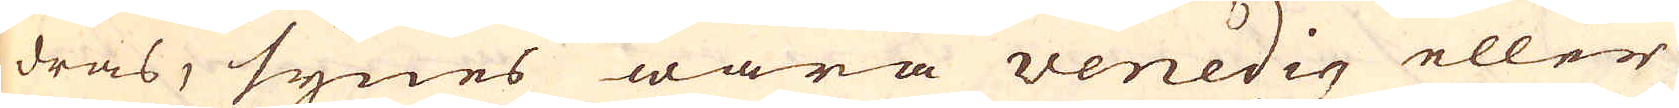dras, synes wara venedig eller
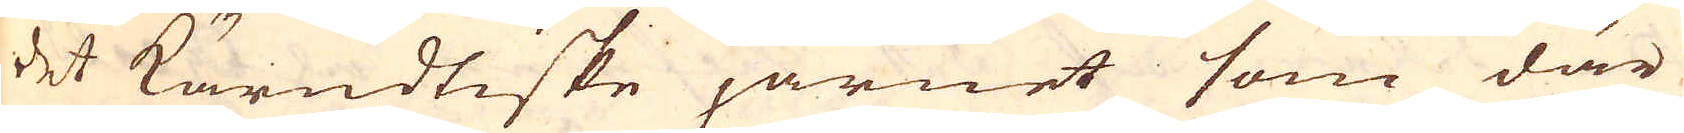det kärndtiske järnet som där
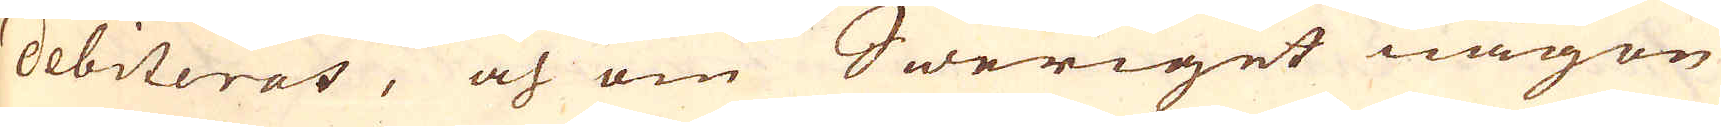debiteras, och om Sweriget någon
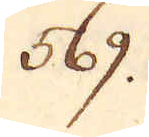569.
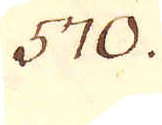570.
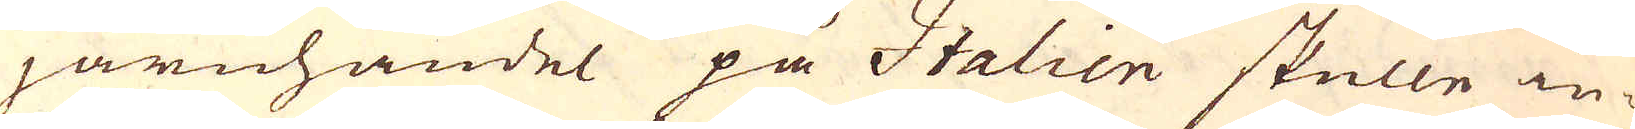järnhandel på Itatien skulle in-
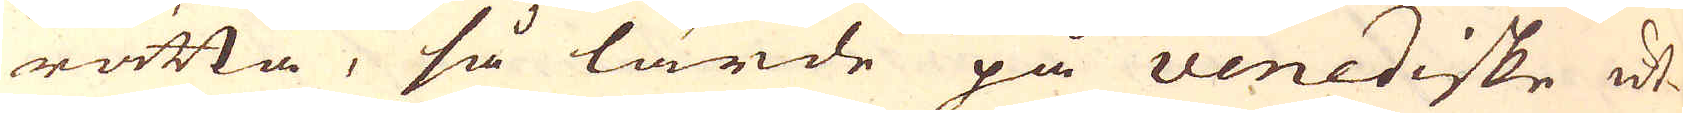rätta, så lärde på venediske ut-
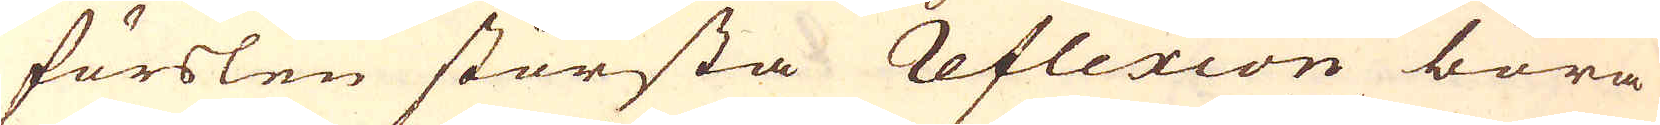förslen största Reflexion böra
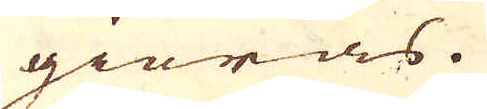giöras.
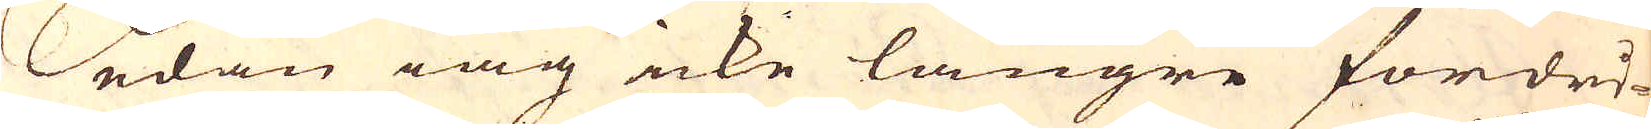Sedan iag icke längre fördri-
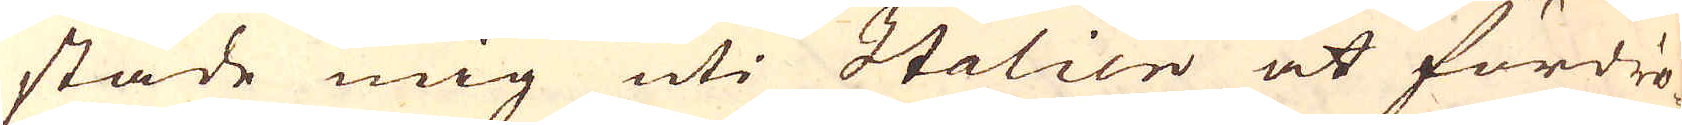stade mig uti Itatien at fördrö-
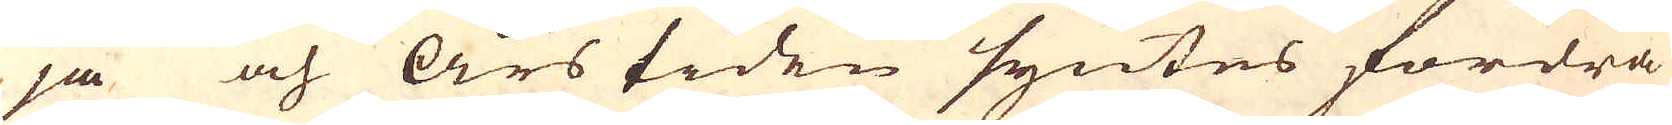ja och Års tiden syntes fordra
